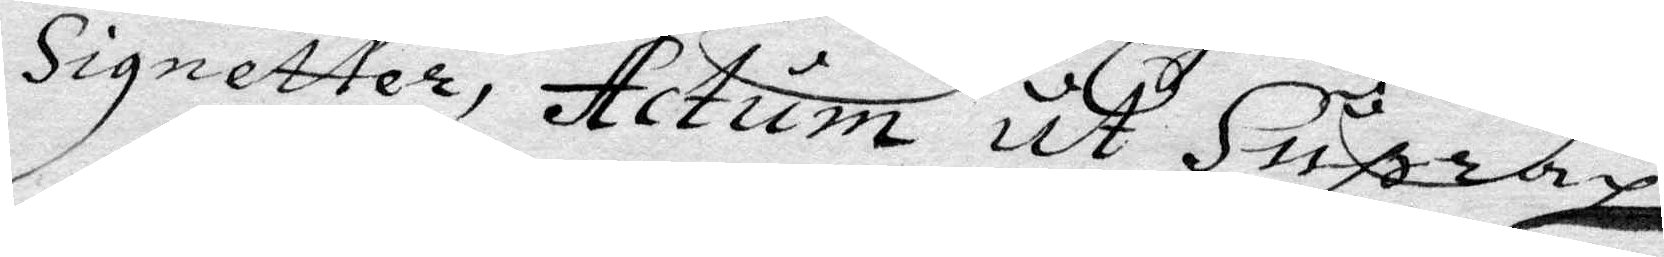Signetter, Actum ut Supra.
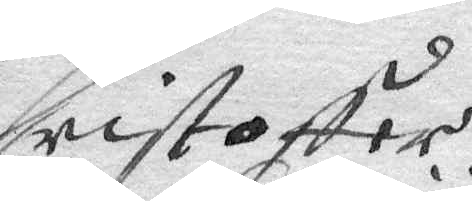Christoffer
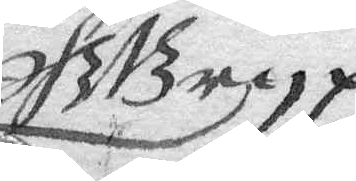GGryp
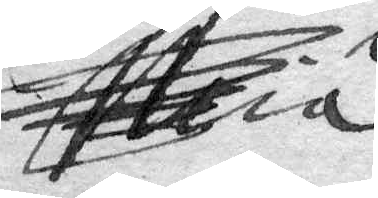Mia
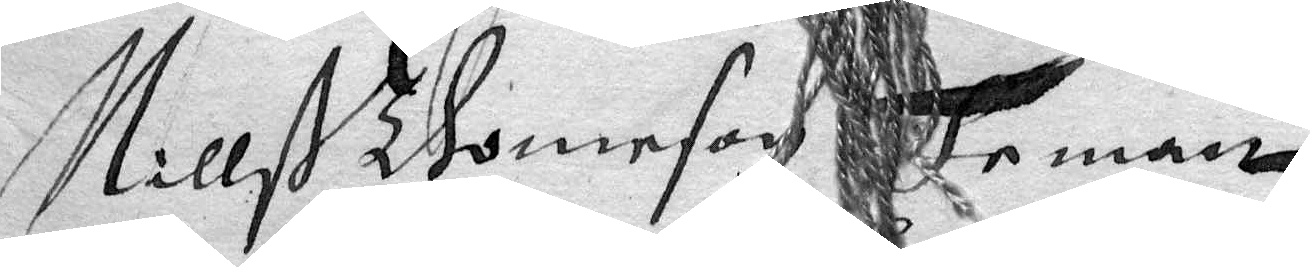Nilß Thomason Teman
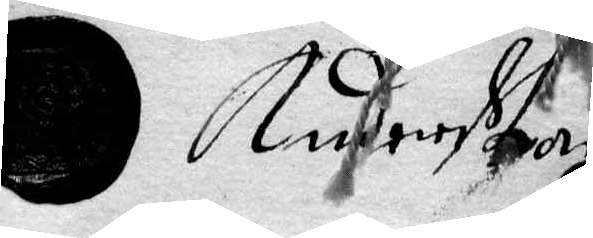Anders Larson
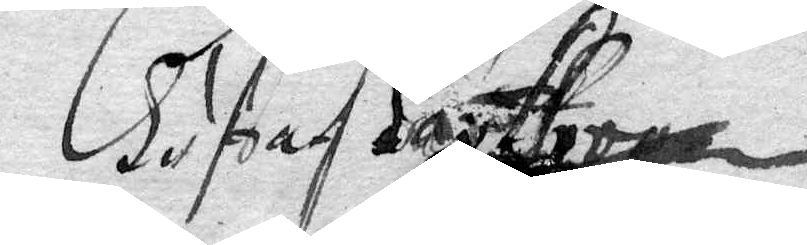Gustaf Posse
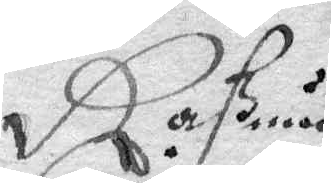Raßmes
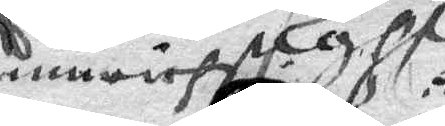inuriest
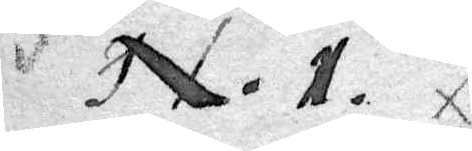N.1.
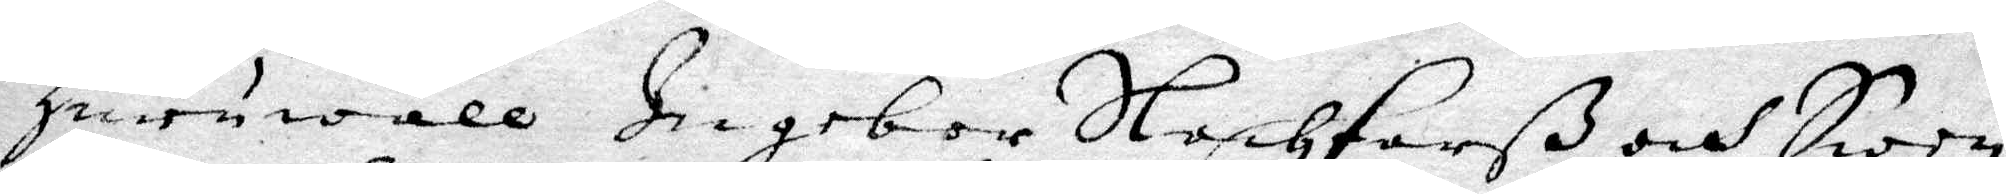Huruwäll Ingebor Slachtarß och Swen
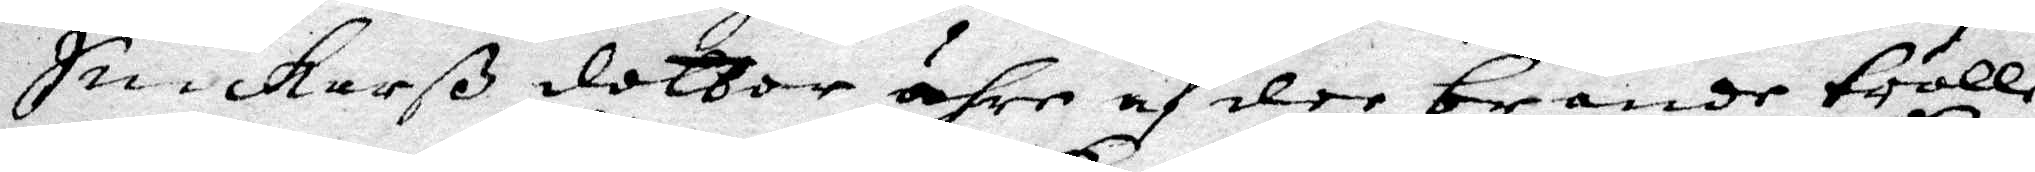Snickarß dotter ähre af dee brände trolle¬
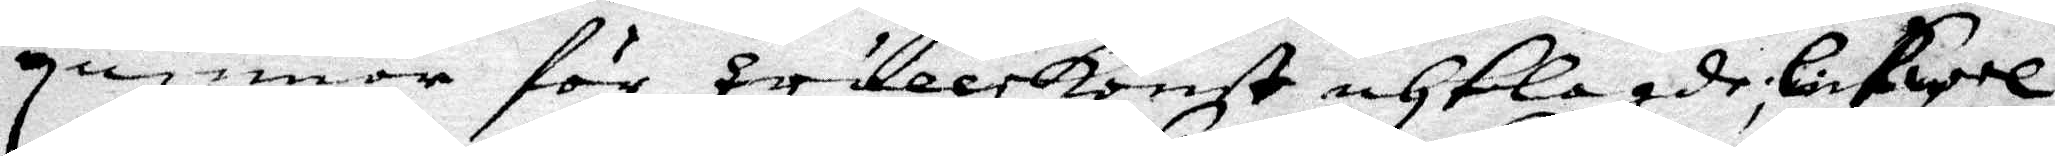quinnor för trullekonst anklagde; Likwel
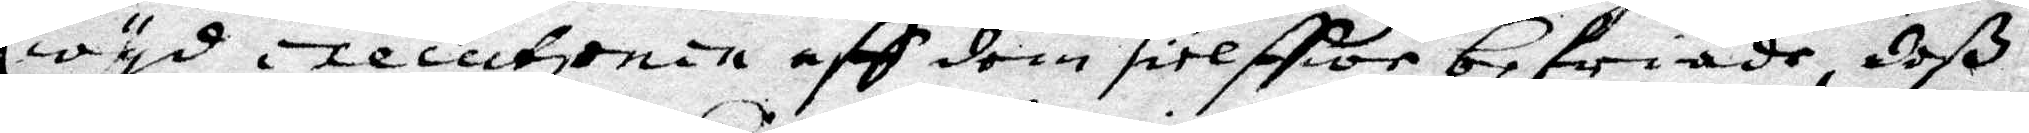wyd executionen aff dom sielffwe befriade deß
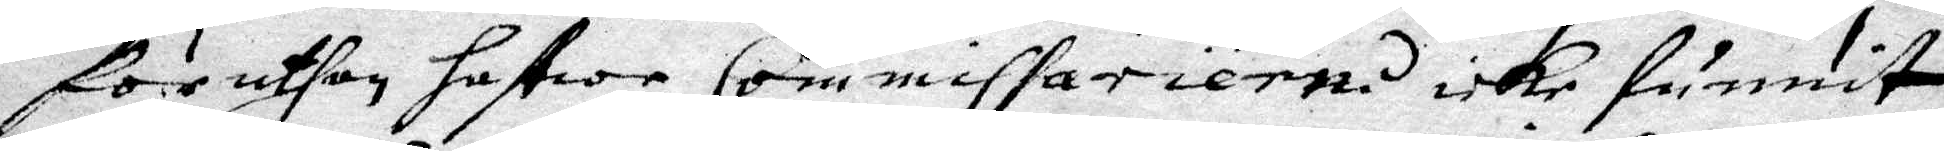föruthan hafwe Commissarierne icke funnit
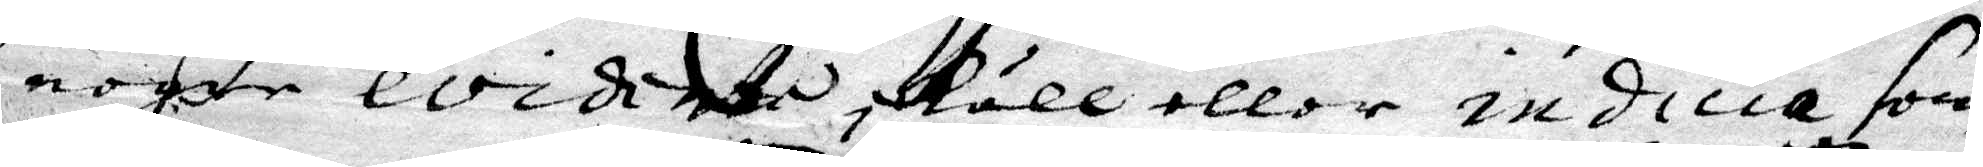nogen evidiete skull eller indicia som
